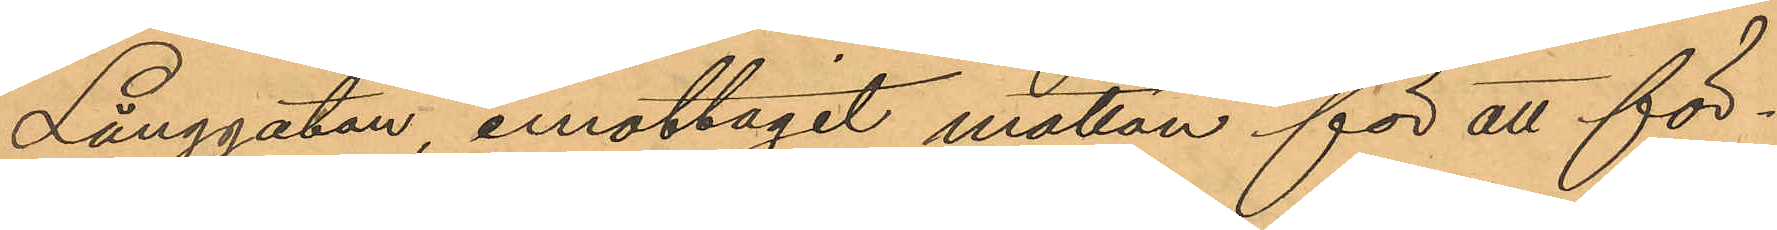Långgatan, emottagit mattan för att för¬
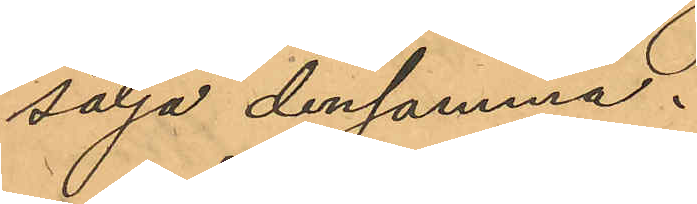sälja densamma.
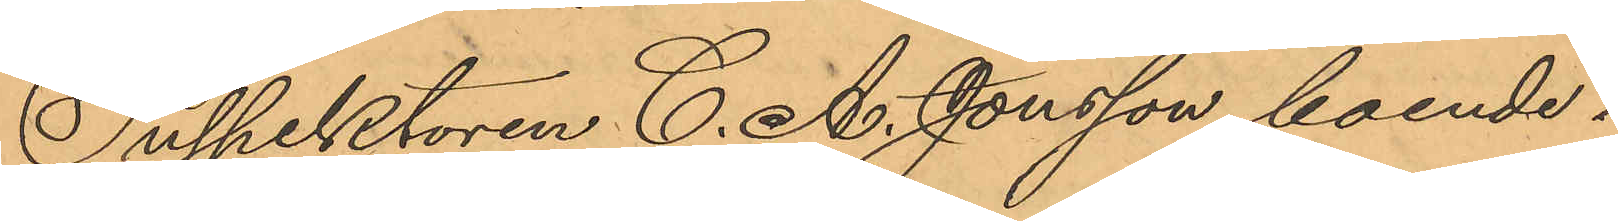Inspektoren C. A. Jonsson, boende i
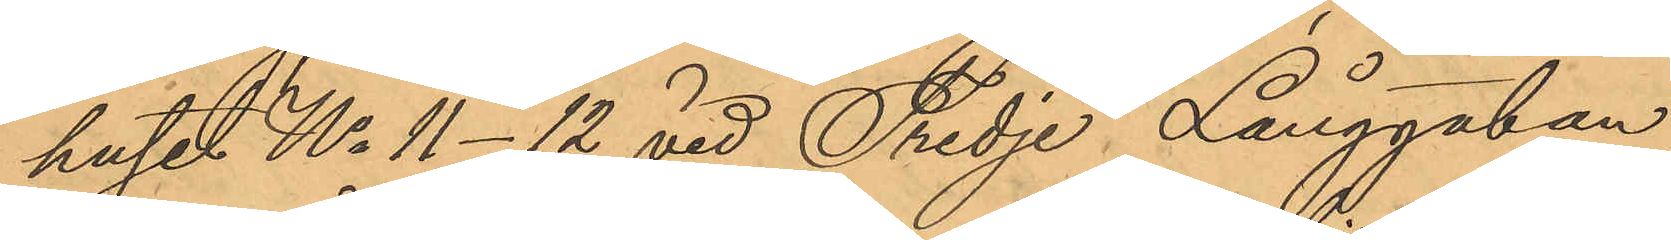huset No 11- 12 vid Tredje Långgatan,
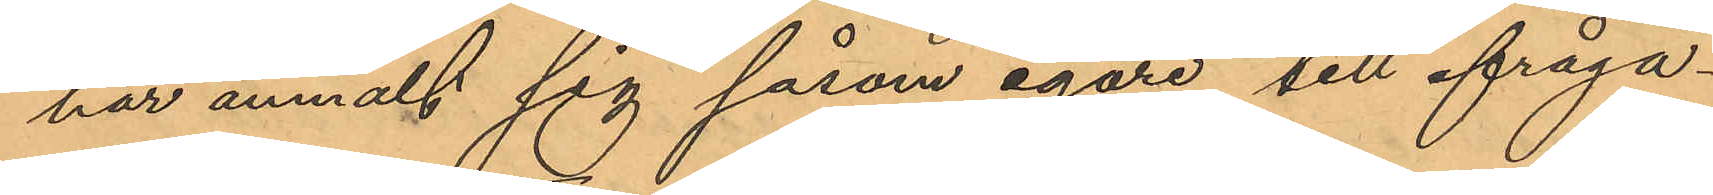har anmält sig såsom egare till ifråga¬
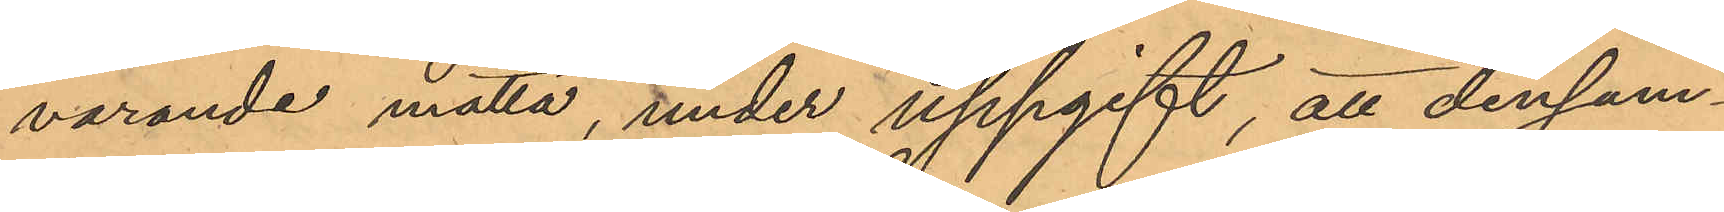varande matta, under uppgift, att densam¬
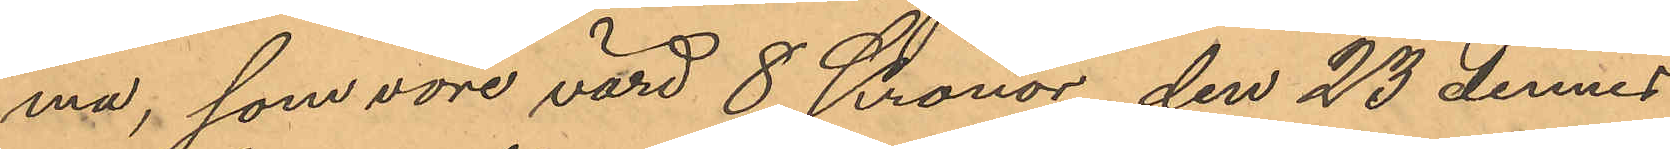ma, som vore värd 8 Kronor, den 23 dennes
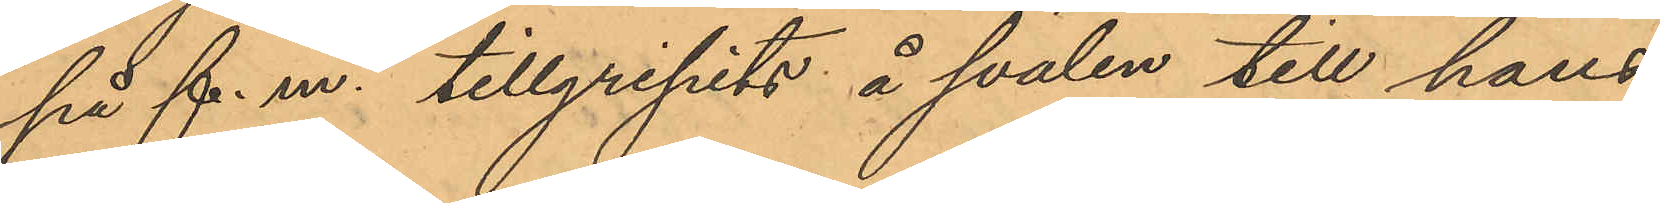på f. m. tillgripits å svalen till hans
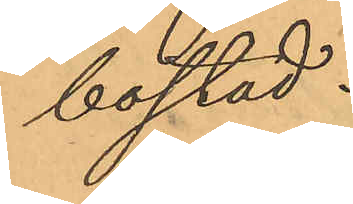bostad.
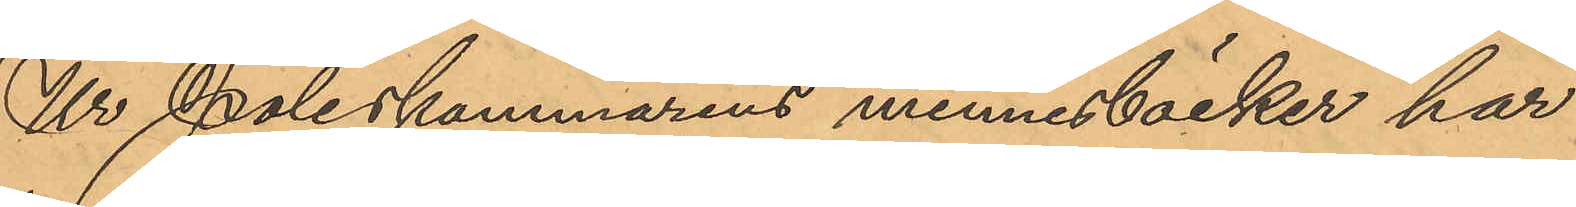Ur Poliskammarens minnesböcker har
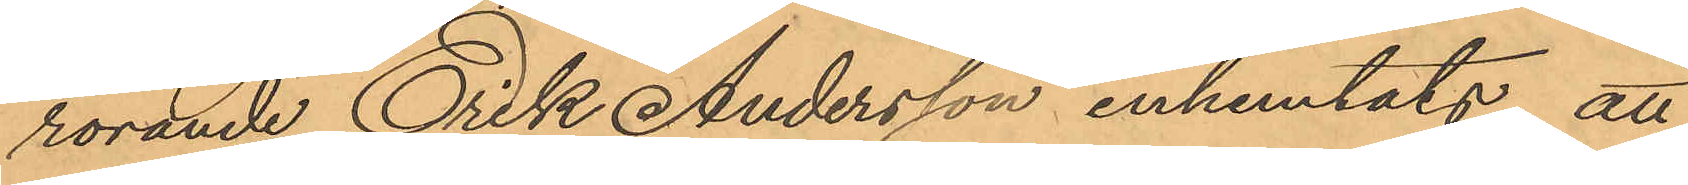rörande Erik Andersson inhemtats, att
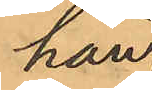han
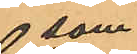som
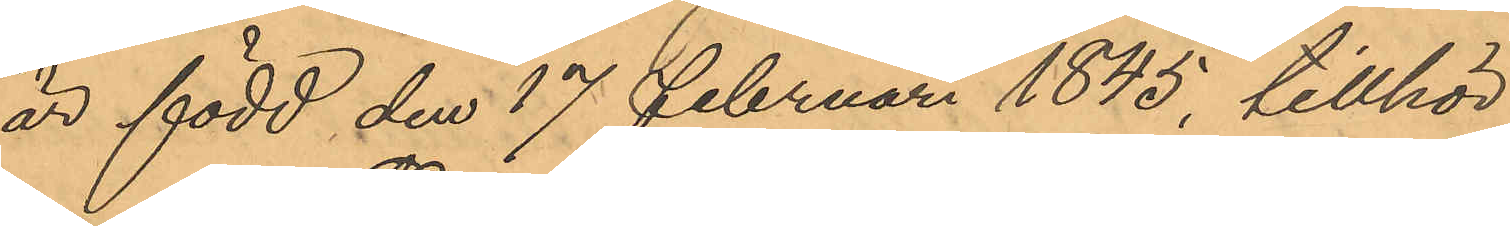är född den 17 Februari 1845, tillhör
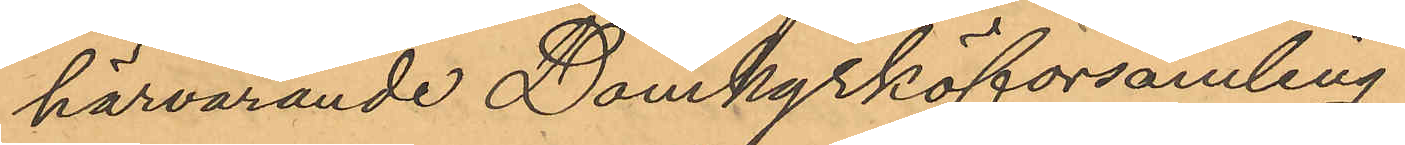härvarande Domkyrkoförsamling.
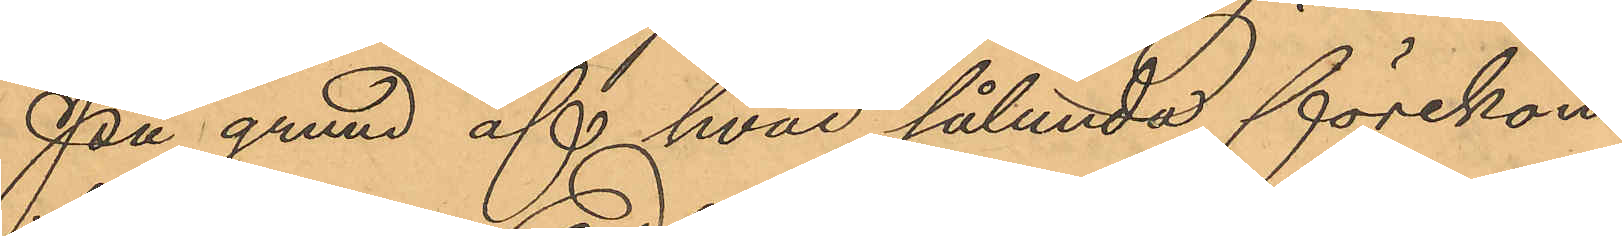På grund af hvad sålunda förekom¬
